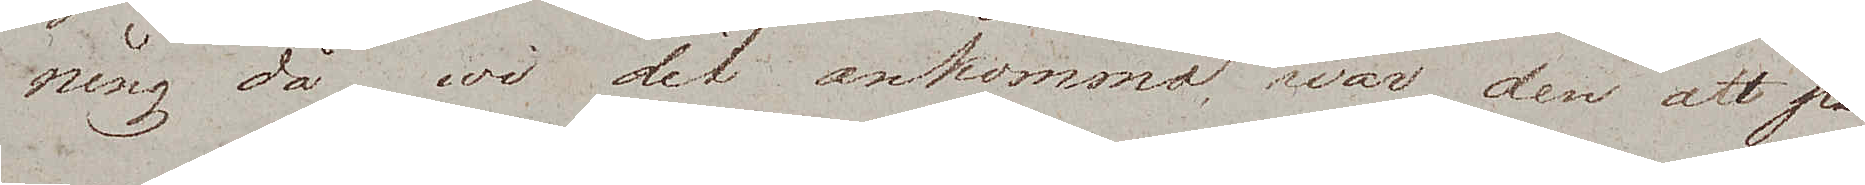ning då wi dit ankommo, war den att på
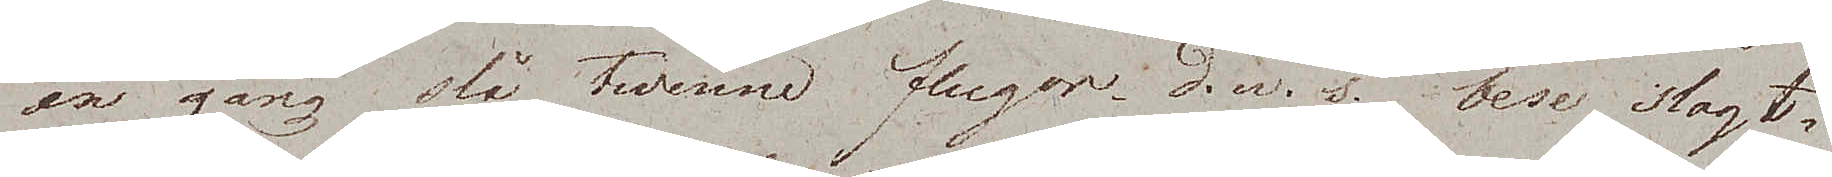en gång slå twenne flugor, d.v.s. bese slagt¬
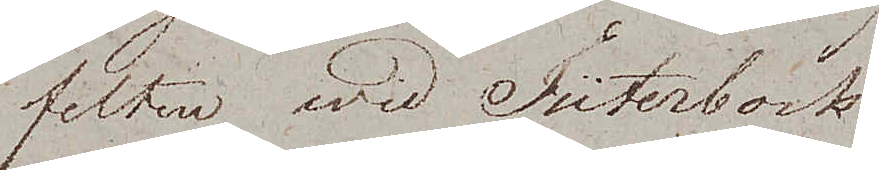felten wid Jüterbock
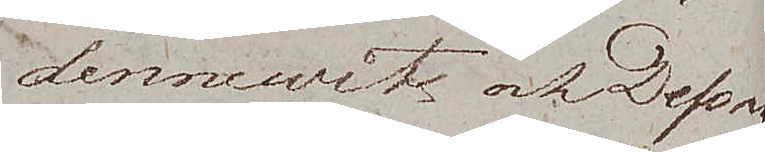Dennewitz och Dessau.
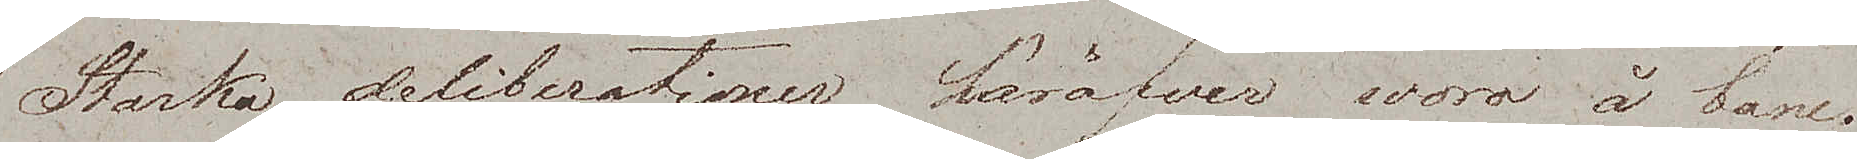Starka deliberationer häröfver woro å bane.
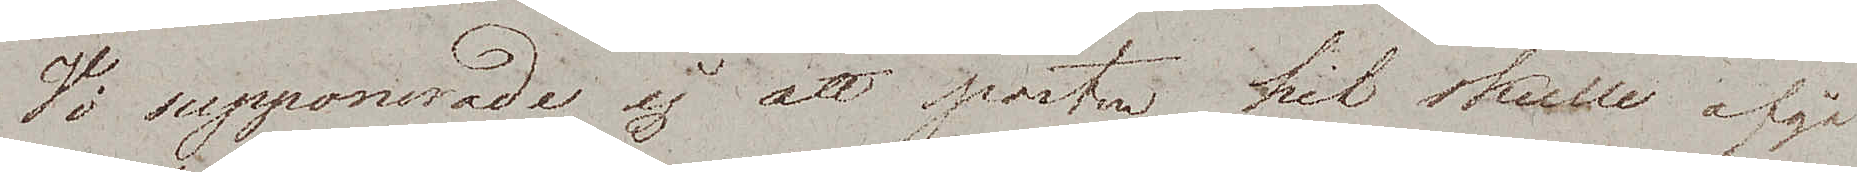Vi supponerade ej att posten hit skulle afgå
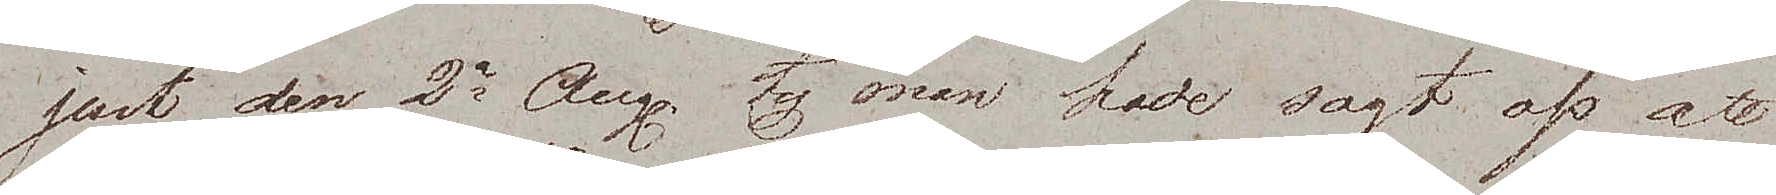just den 2ra Aug, ty man hade sagt oss att
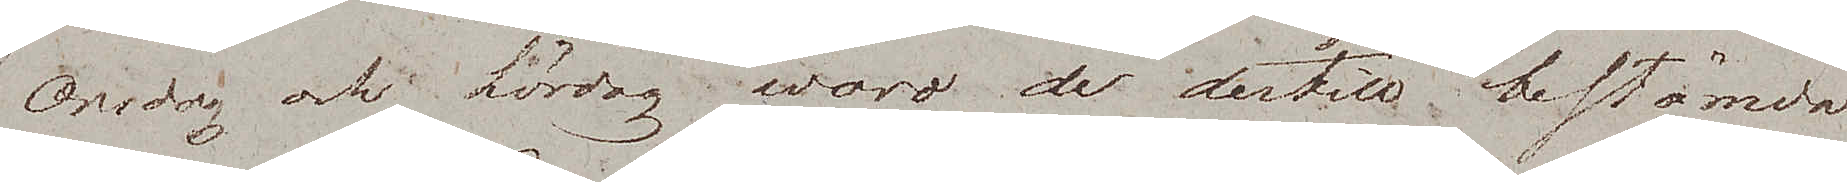Onsdag och Lördag woro de dertill bestämda
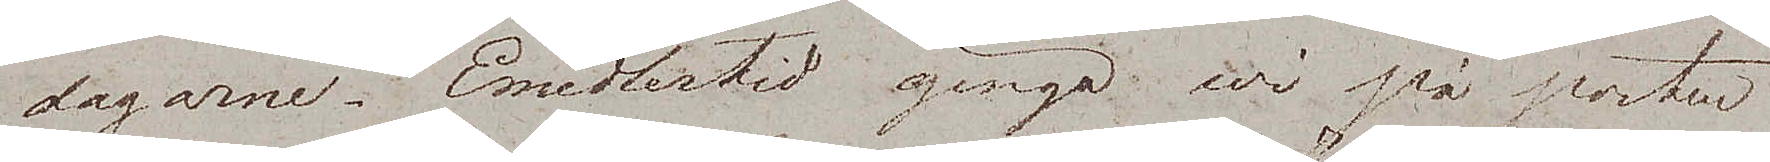dagarne. Emedlertid gingo wi på posten
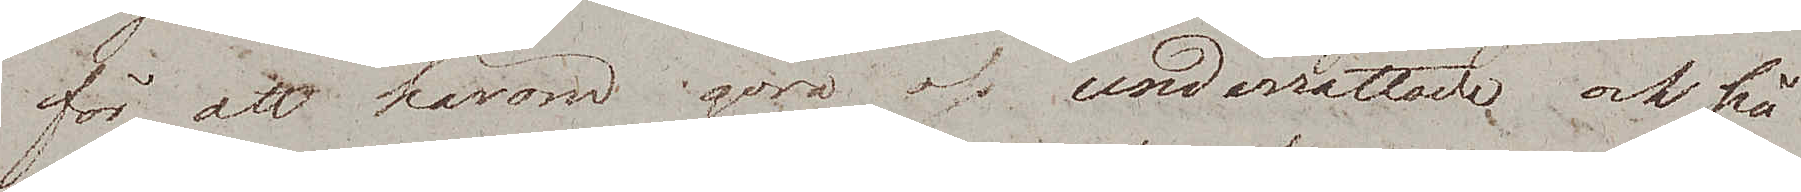för att härom göra oss underrättade och på
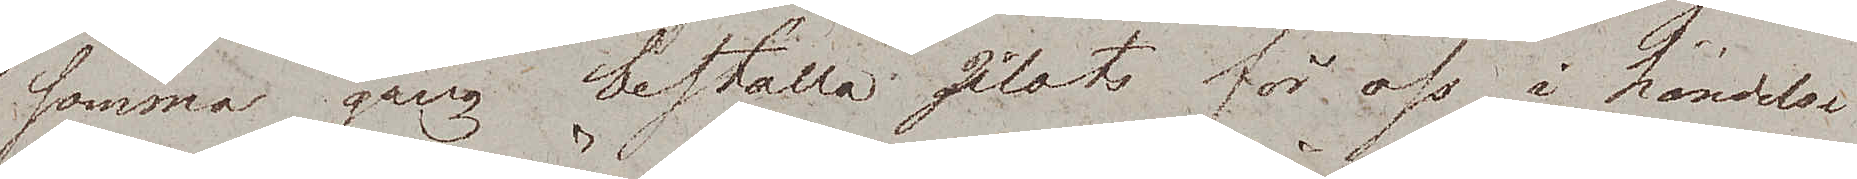samma gång beställa plats för oss i händelse.
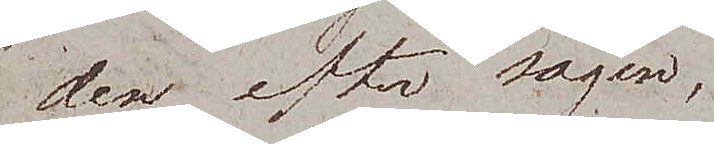den, efter sägen,
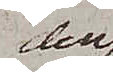den
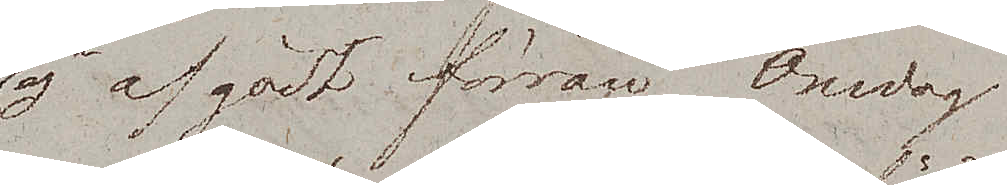ej afgådt förrän Onsdag.
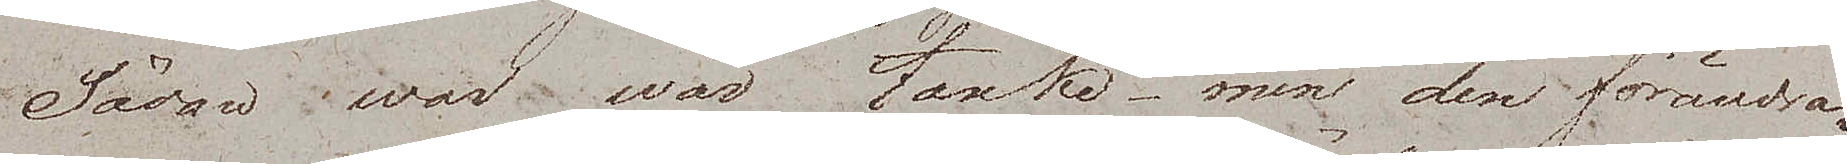Sådan war wår tanke – men den förändra¬
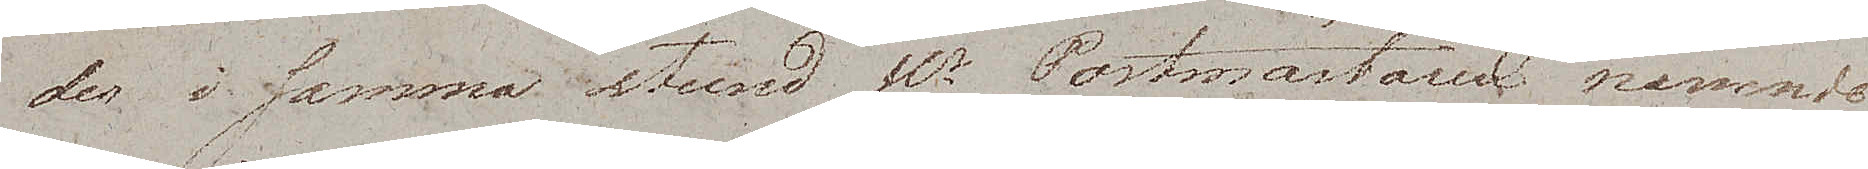des i samma stund Hr Postmästaren nämnde
